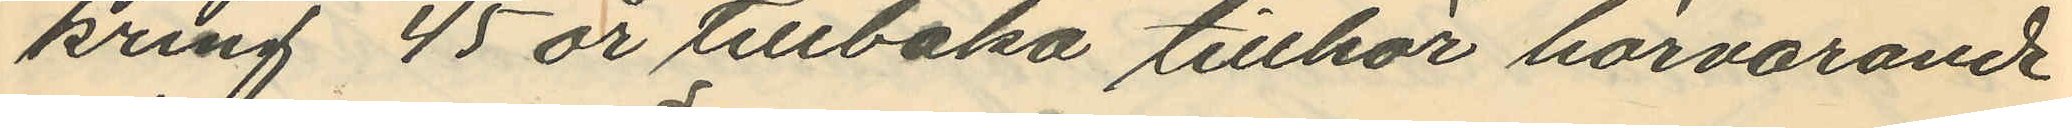kring 45 år tillbaka tillhör härvarande
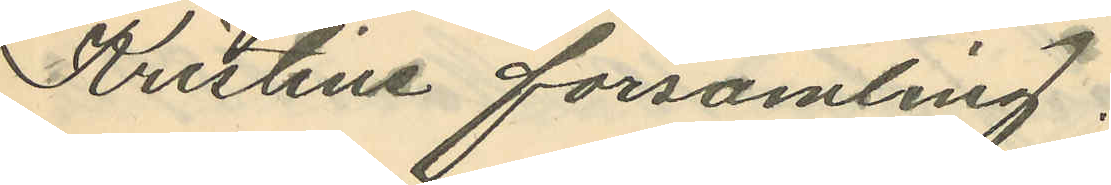Kristine församling.
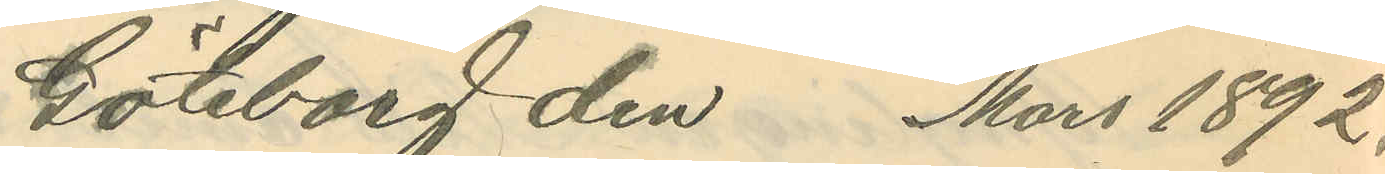Göteborg den Mars 1892.
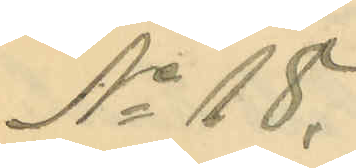No 18.
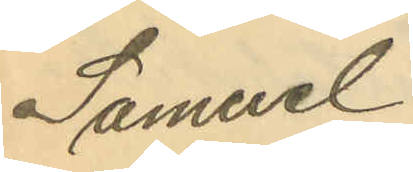Samuel
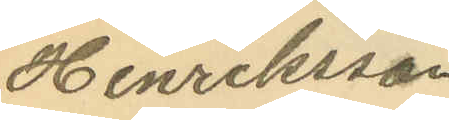Henriksson
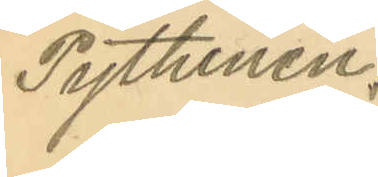Pythinen.
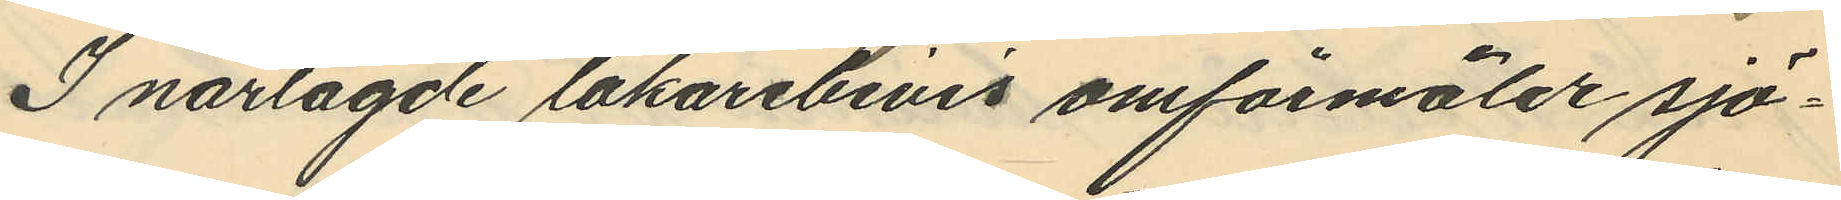I närlagde läkarebevis omförmäler sjö¬
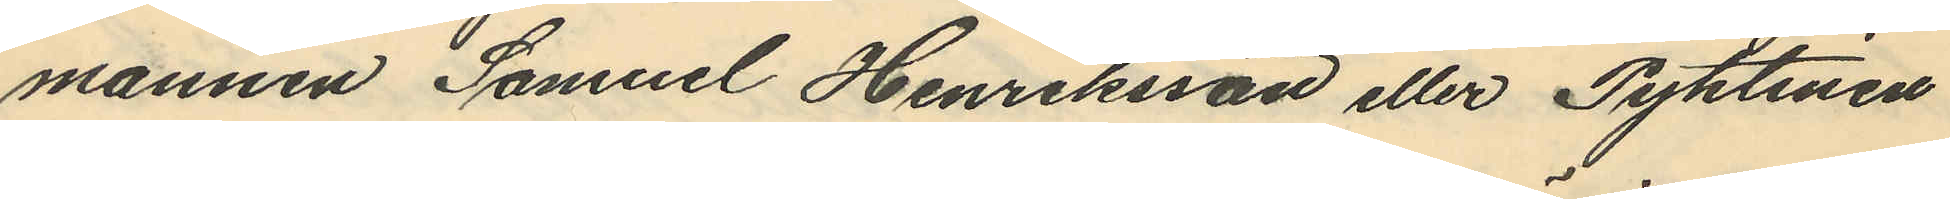mannen Samuel Henriksson eller Pythinen
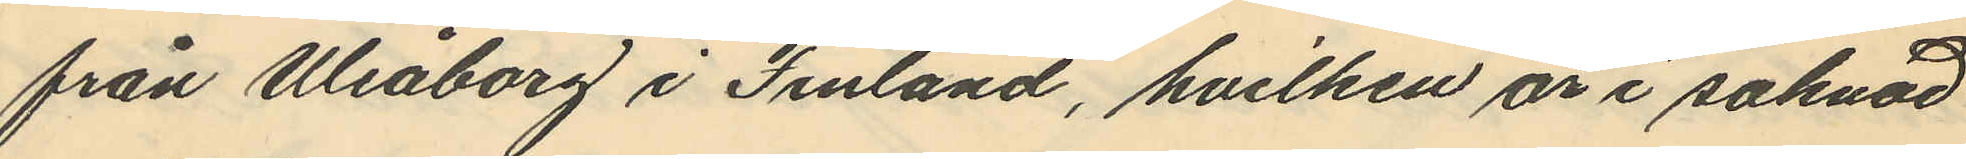från Uleåborg i Finland, hvilken är i saknad
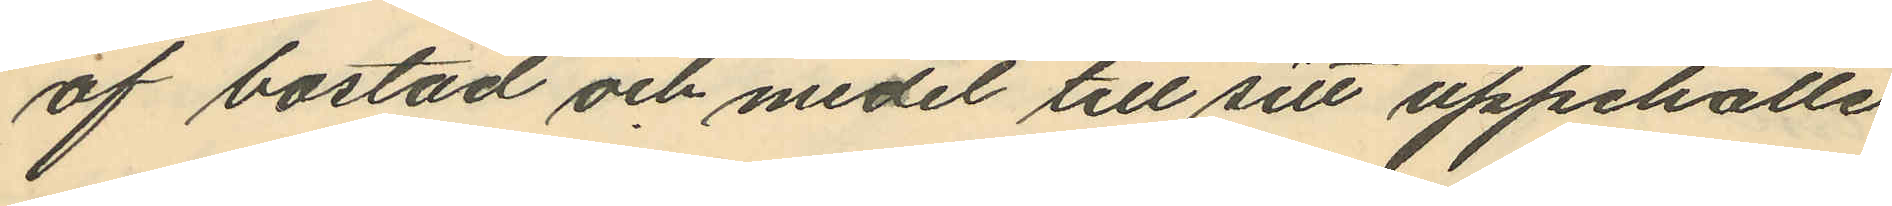af bostad och medel till sitt uppehälle
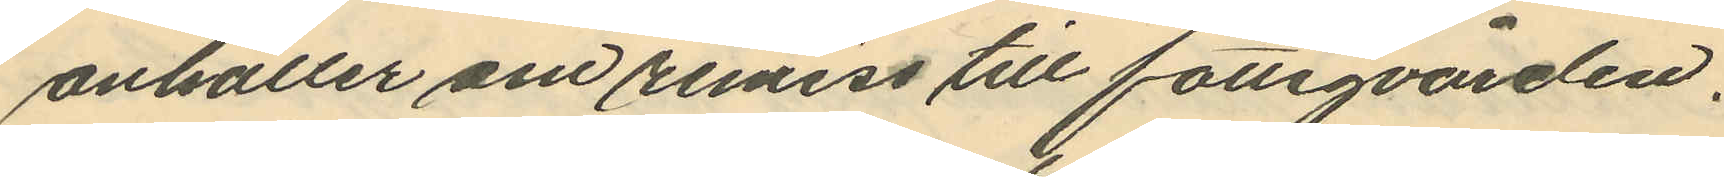anhåller om remess till fattigvården.
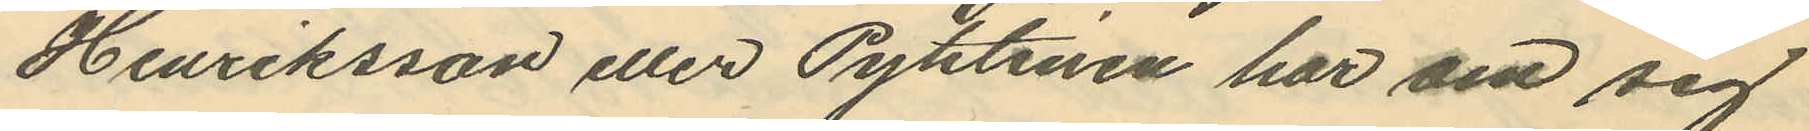Henriksson eller Pythinen har om sig
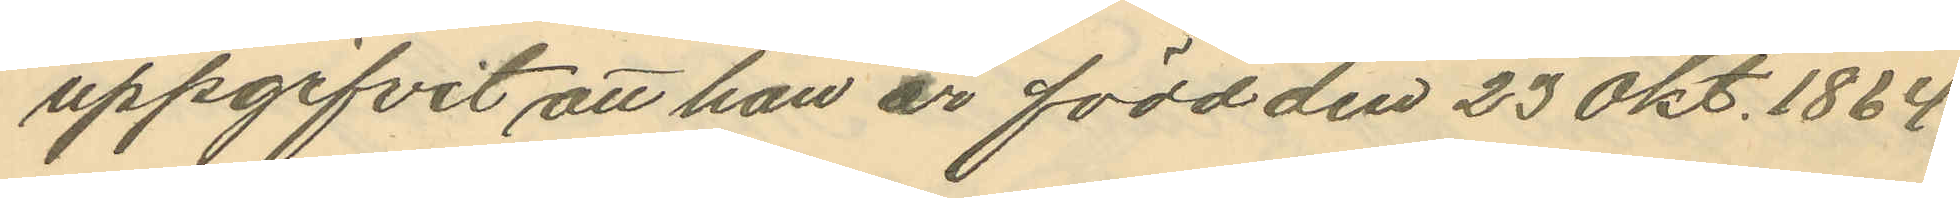uppgifvit att han är född den 23 Okt. 1864
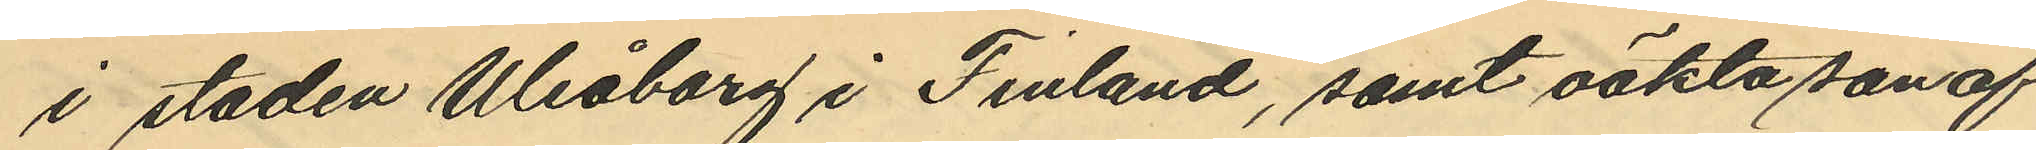i staden Uleåborg i Finland, samt oäkta son af
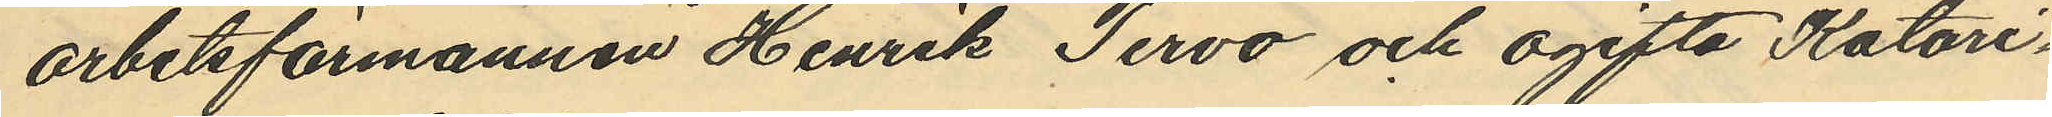arbetsförmannen Henrik Tervo och ogifta Katari¬
